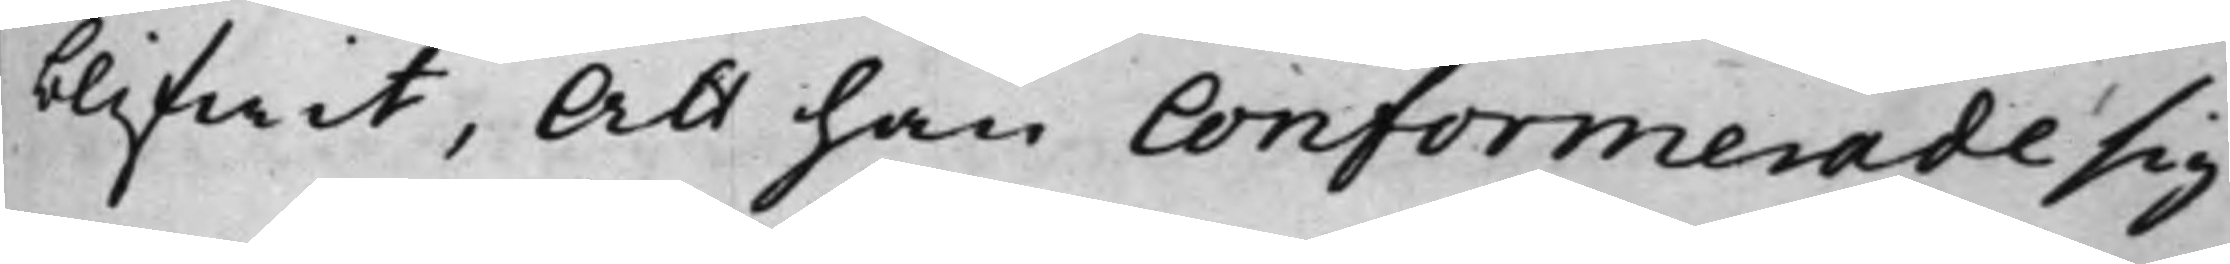blifwit, Att han Conformerade sig
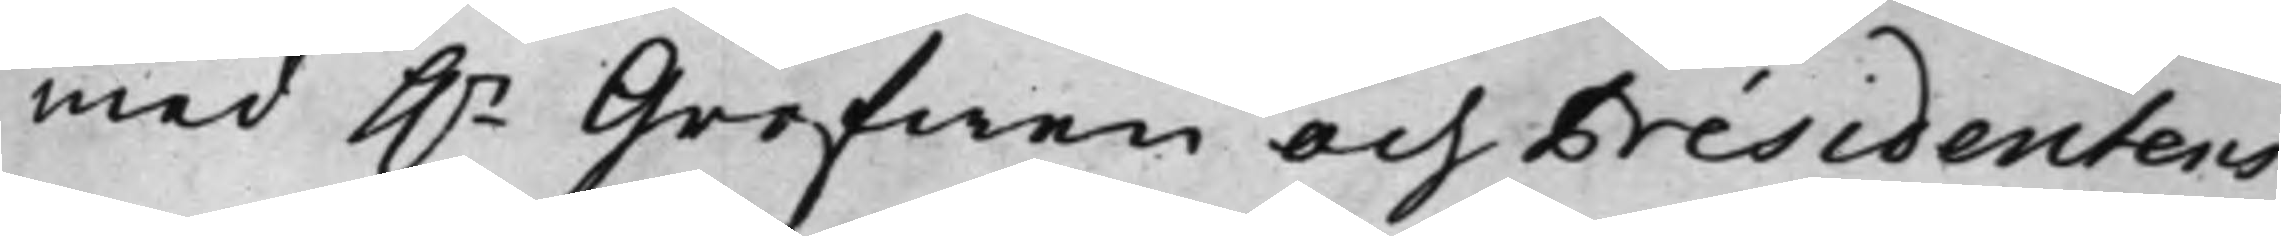med h.r Grefwen och Présidentens
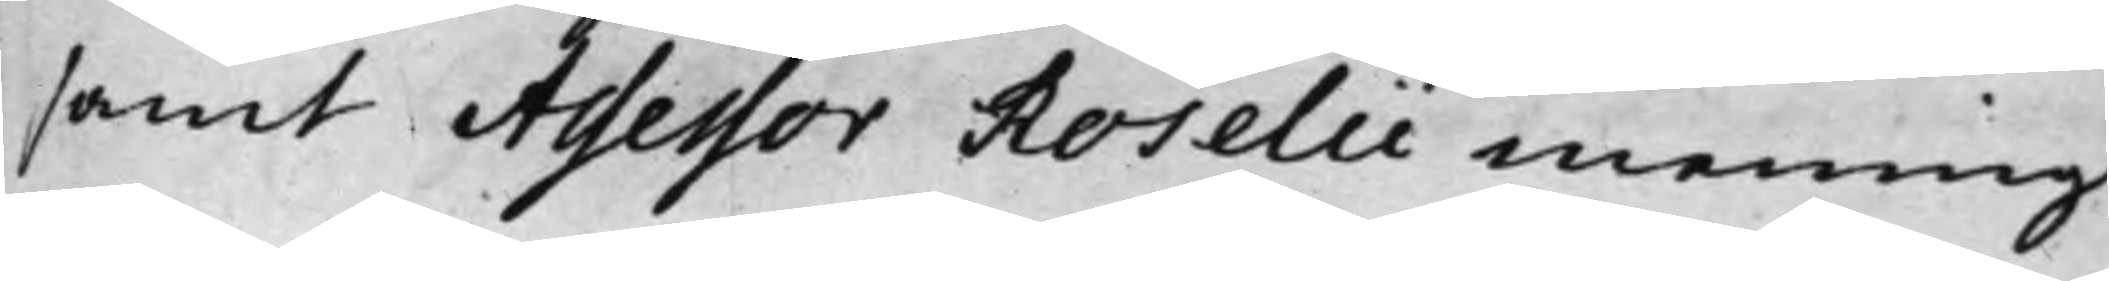samt Assessor Roselii mening.
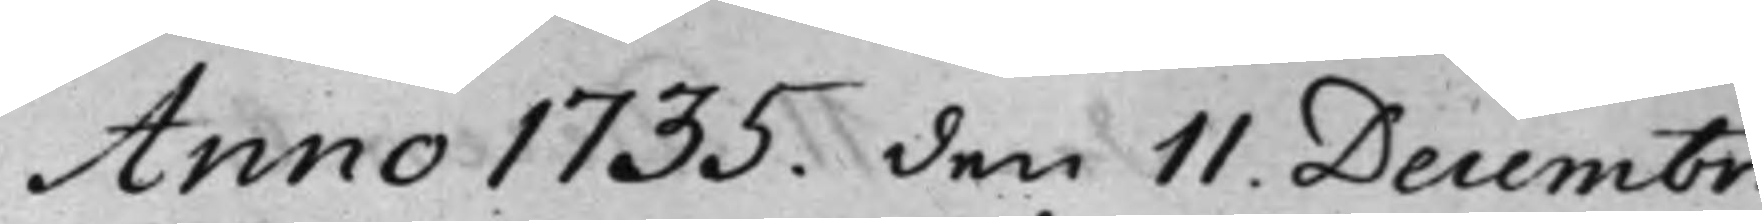Anno 1735. den 11. Decembr.
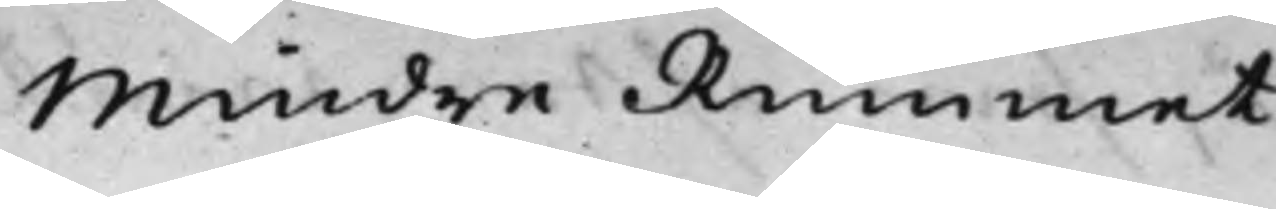Mindre Rummet.
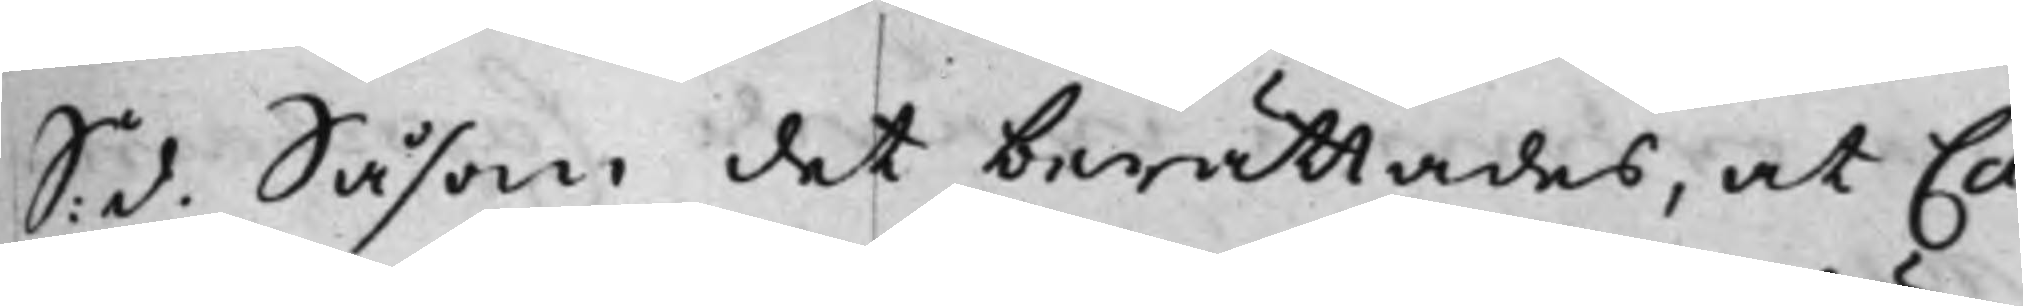S. d. Såsom det berättades, at Ca¬
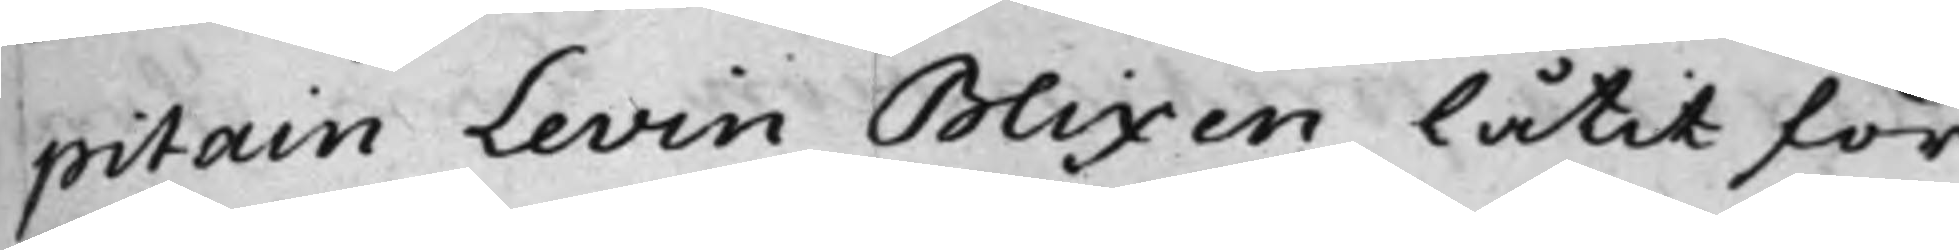pitain Levin Blixen låtit för¬
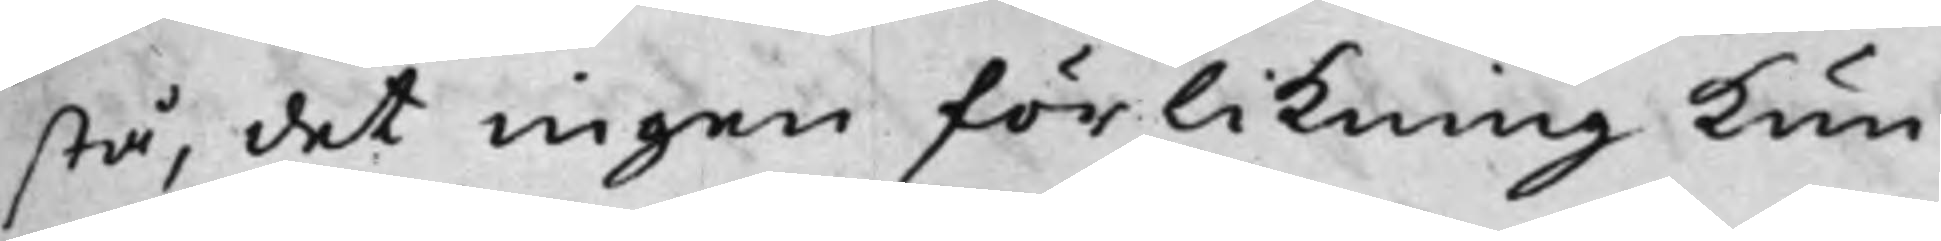stå, det ingen förlikning kun¬
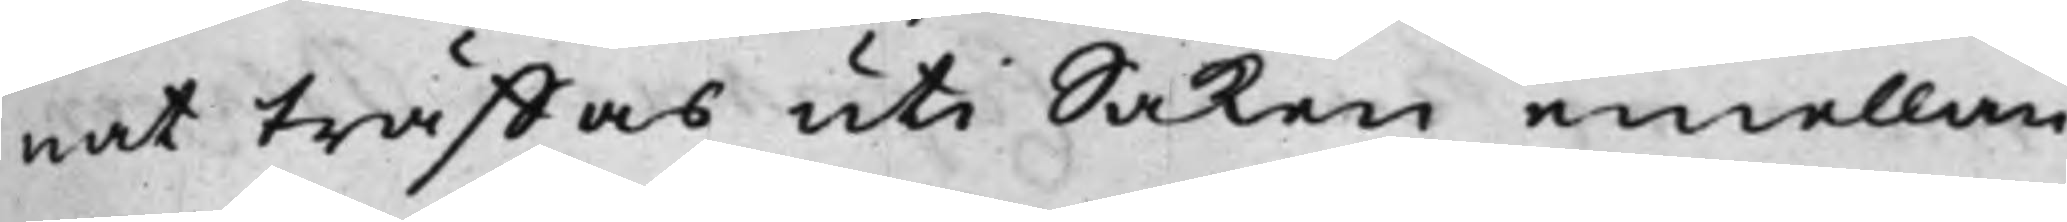nat träffas uti Saken emellan
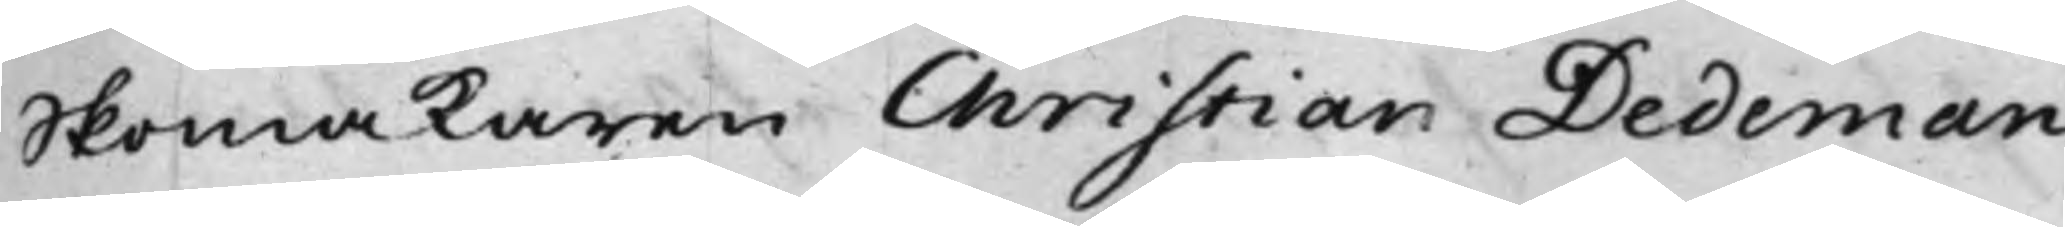Skomakaren Christian Dedeman
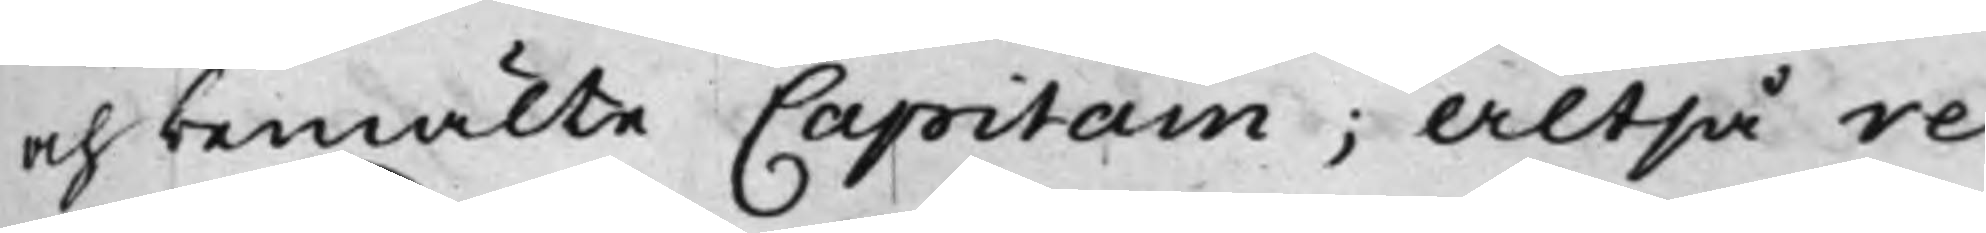och bemälte Capitain; Altså re¬
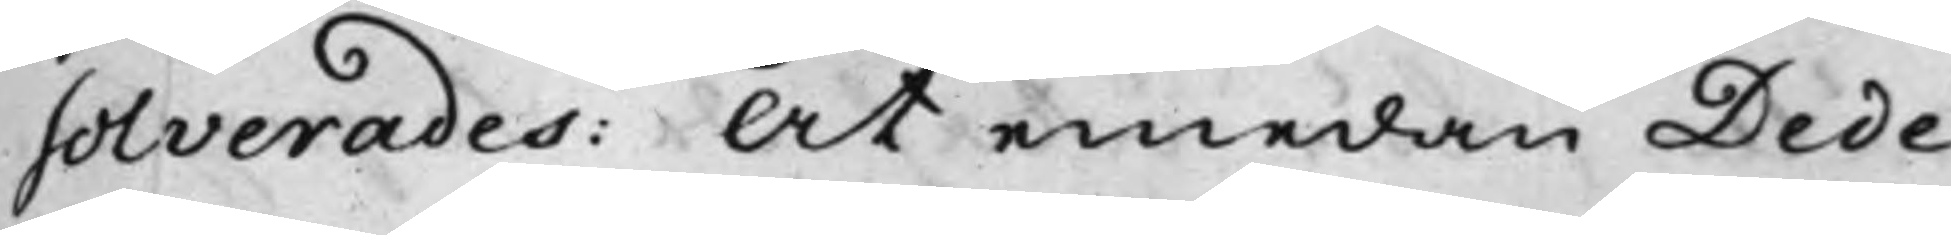solverades: At emedan Dede¬
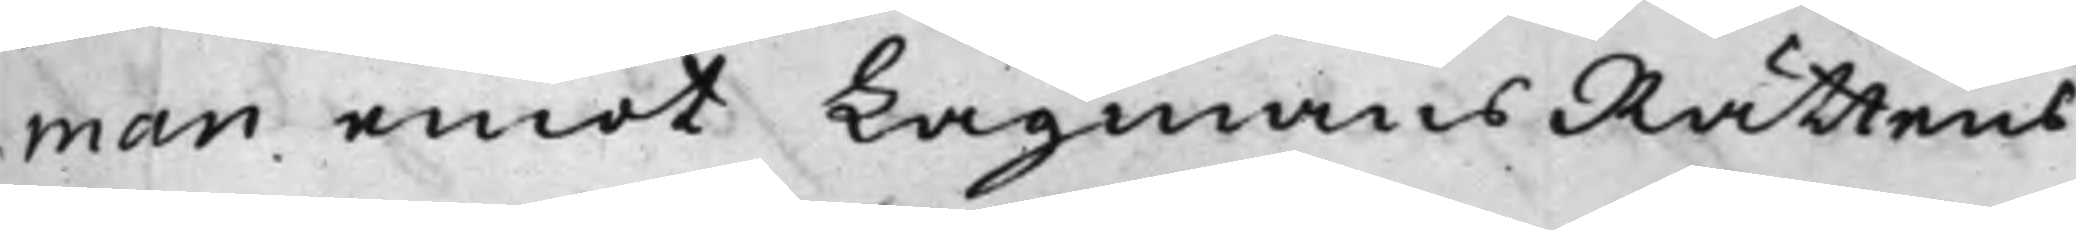man emot LagmansRättens
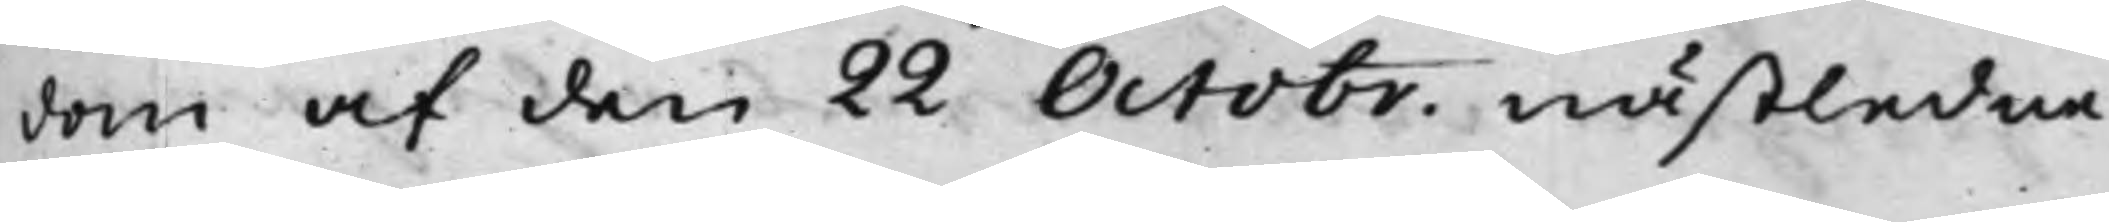dom af den 22 Octobr. nästledne
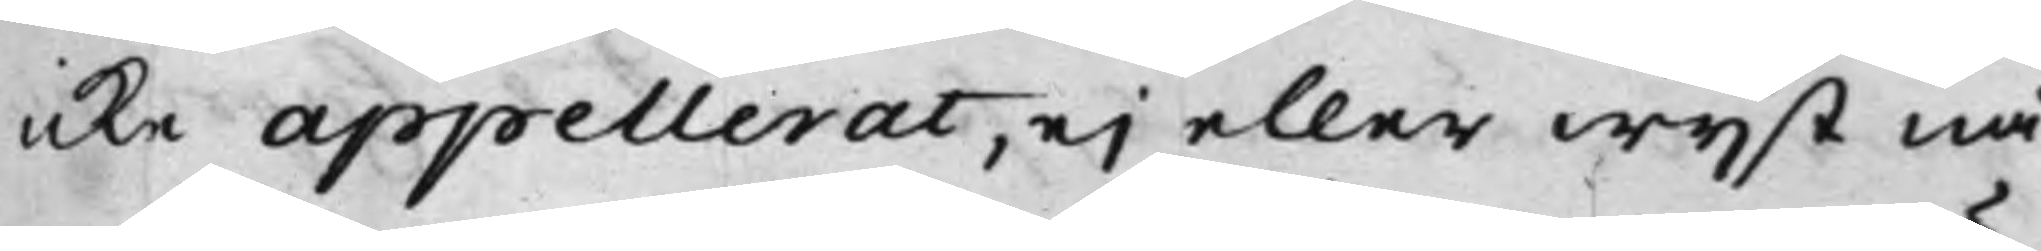icke appellerat, ej eller wijst nå¬
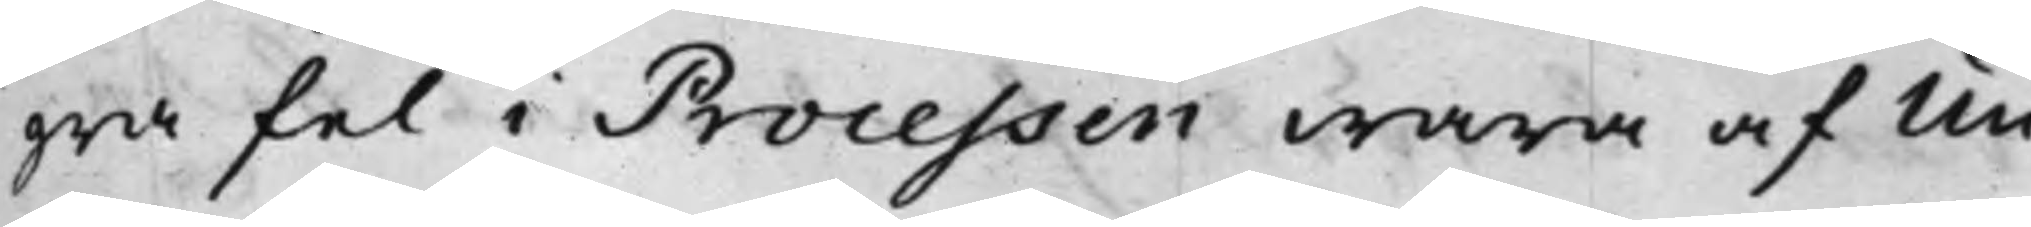gra fel i Processen wara af Un¬
